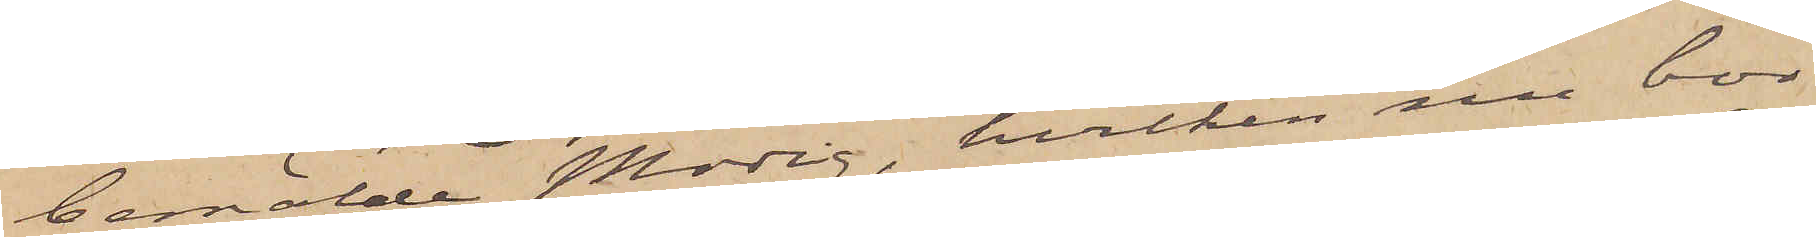bemälde Modig, hvilken nu bor
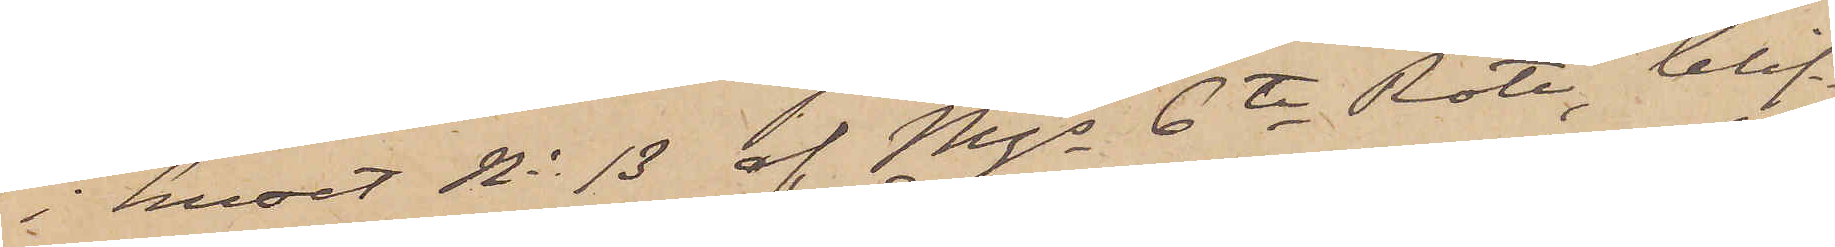i huset No 13 af Mjs 6te Rote, blif¬
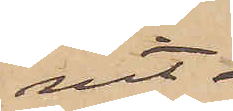vit 
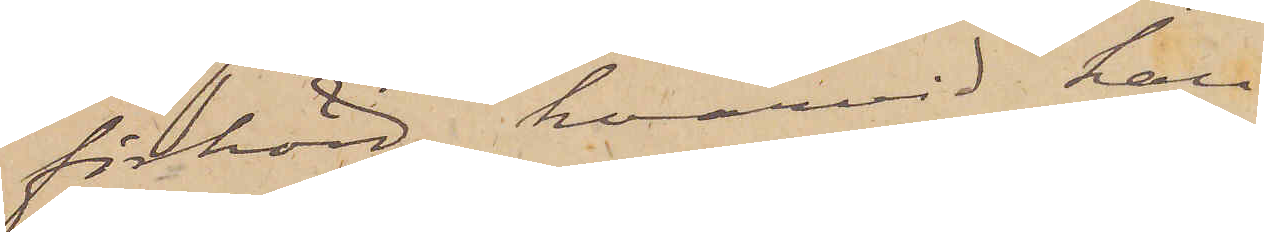förhörd, hvarvid han
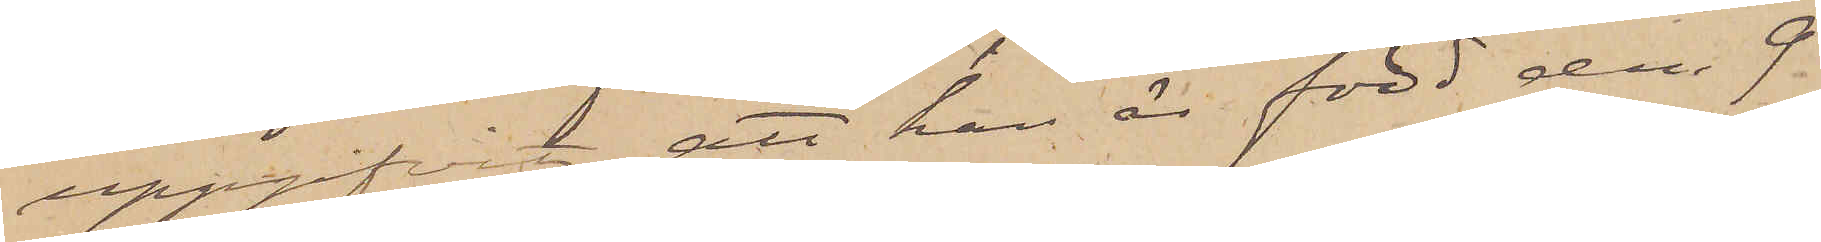uppgifvit, att han är född den 9
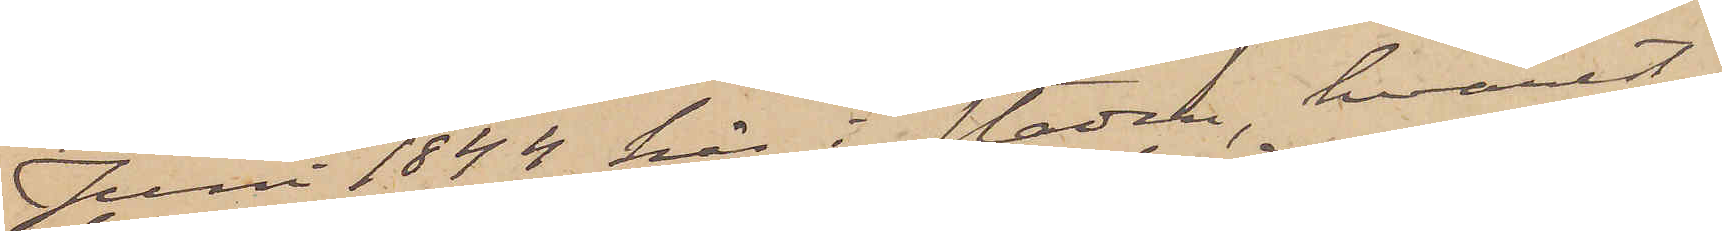Juni 1844 här i staden, hvarest
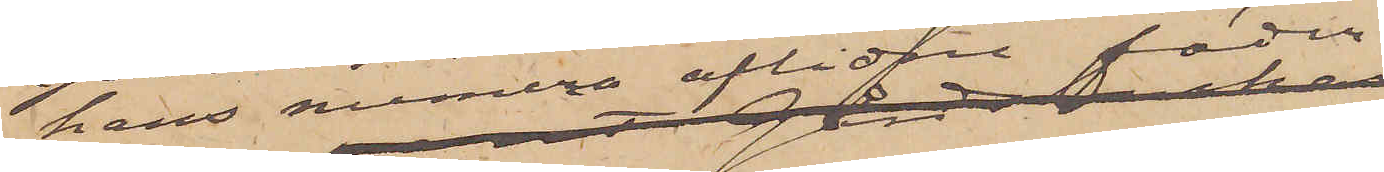hans numera alidne fader
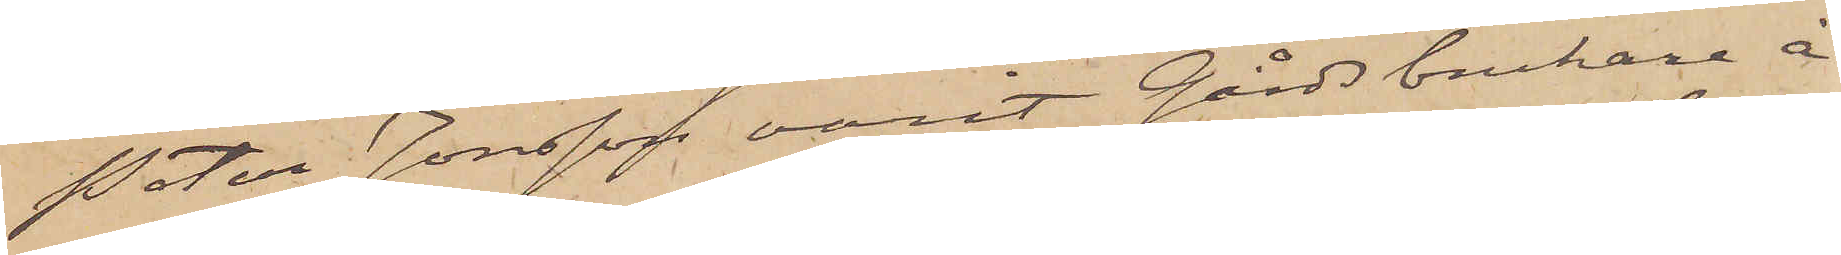Peter Jonsson varit Gårdsbrukare å
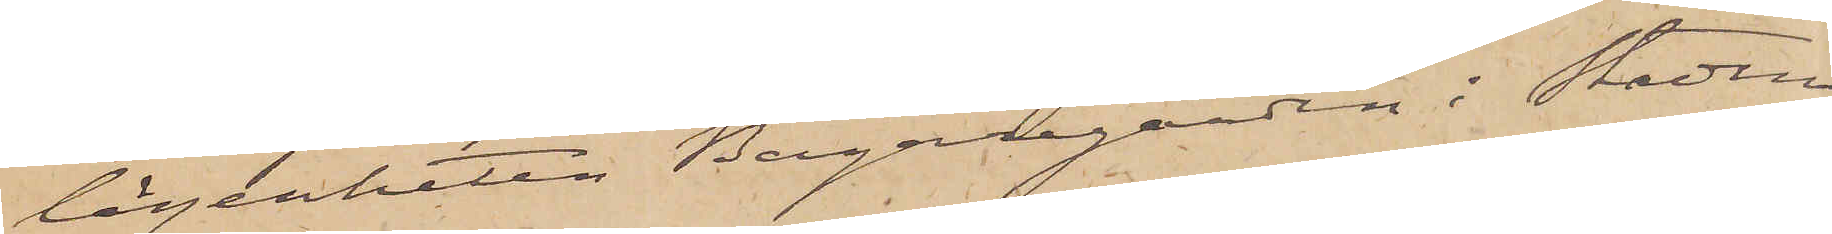lägenheten Bagaregården i Stadens
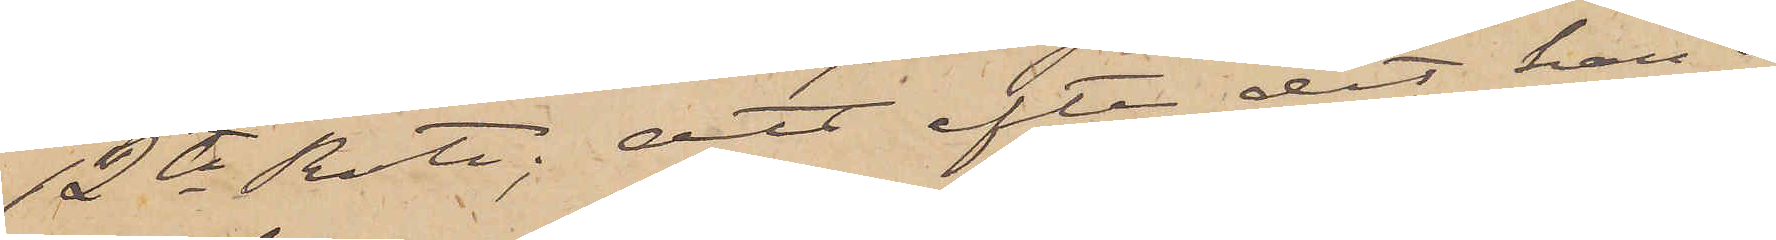12te Rote; att efter det han i
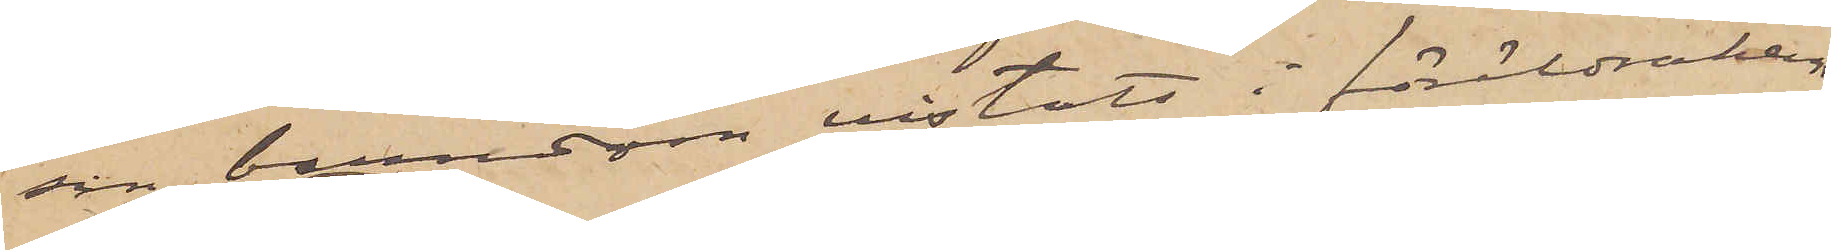sin barndom vistats i föräldrahem¬
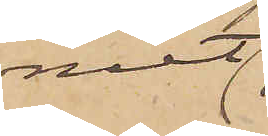met
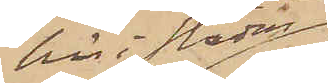här i staden,
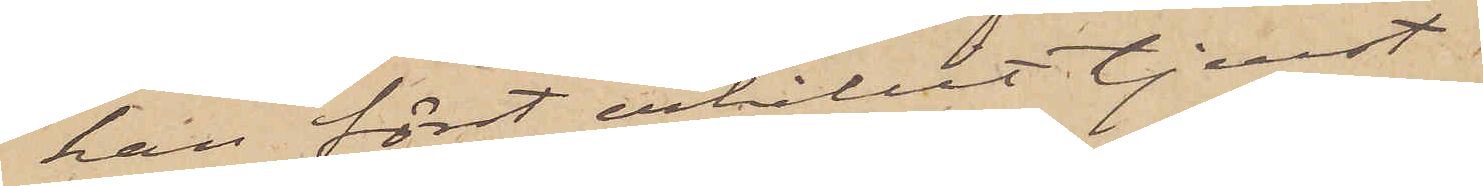han först erhållit tjenst.
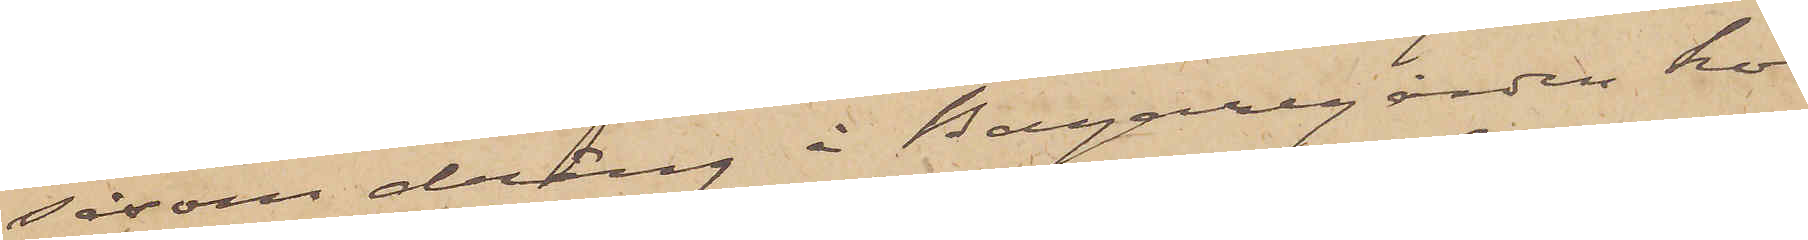såsom dräng å Bagaregården hos
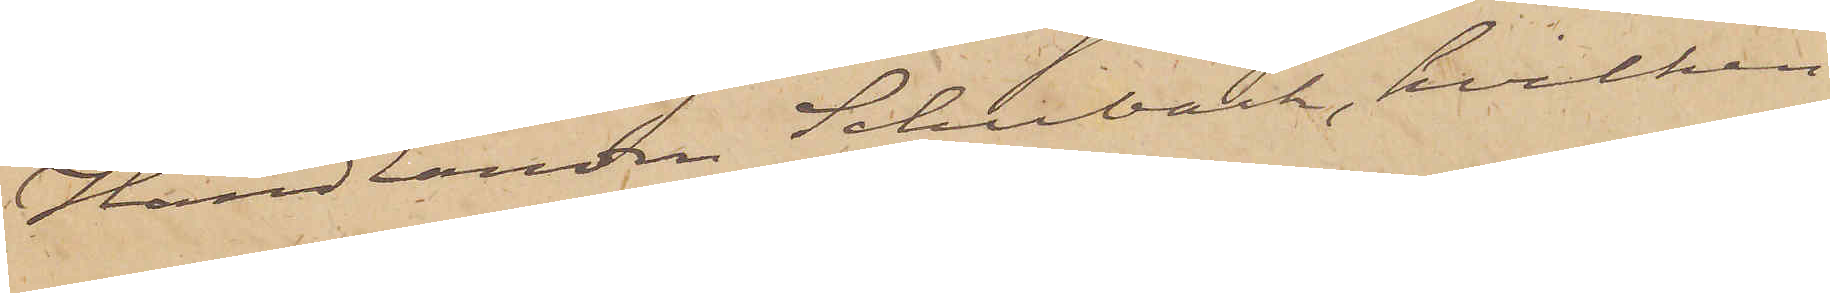Handlanden Schenlund, hvilken
